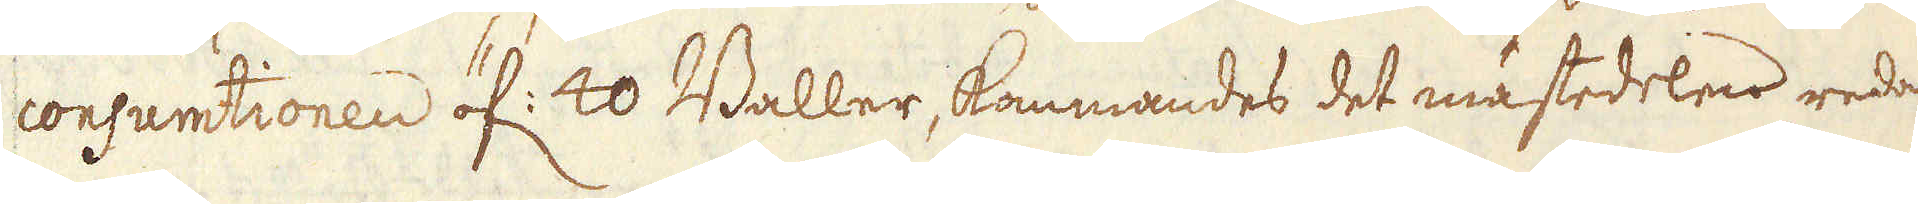consumtionen öf. 40 Baller, kommandes det mästedelen redan
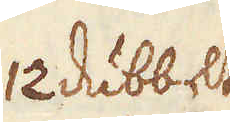12 dubbelt
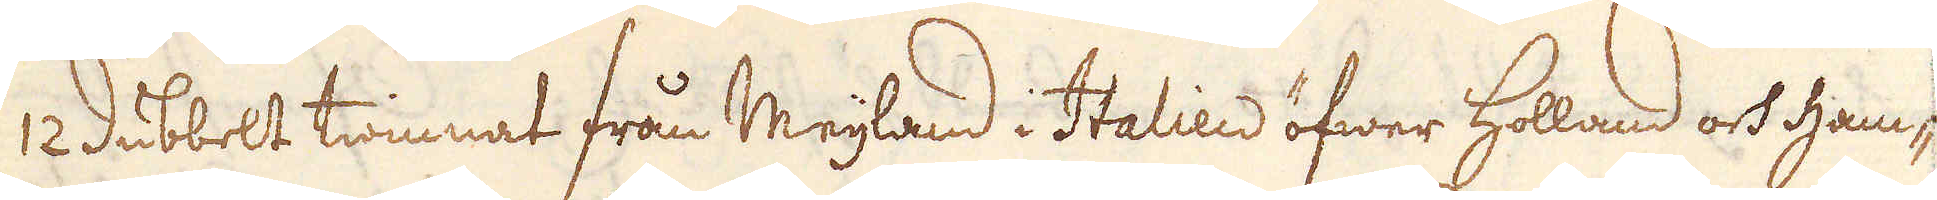12 dubbelt twinnat från Meijland i Italien öfwer Holland och Ham-
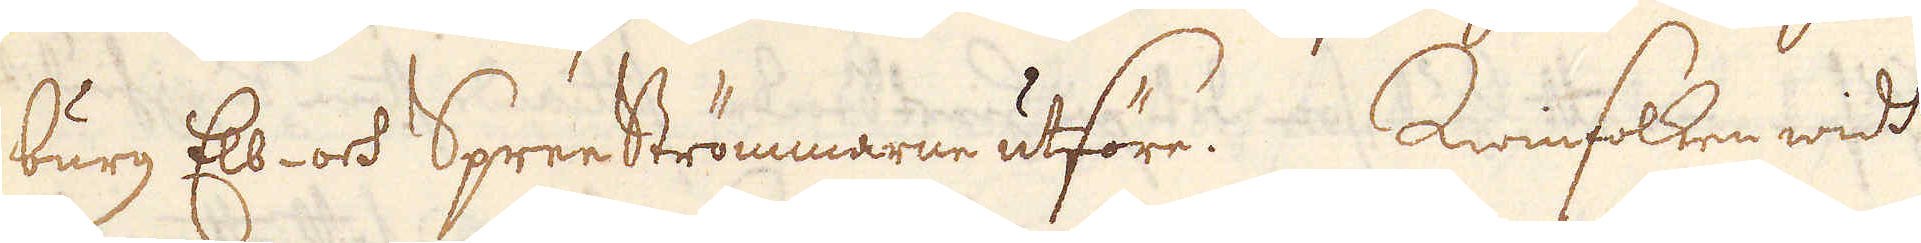burg Elb- och Spree Strömmarne utföre. Qwinfolken widt
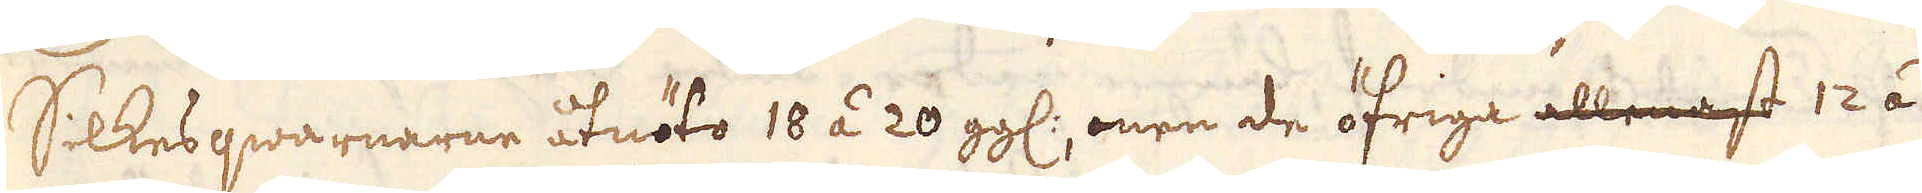Silkesqwarnarne åtnöto 18 áà 20 ggl, men de öfriga alle ast 12 á
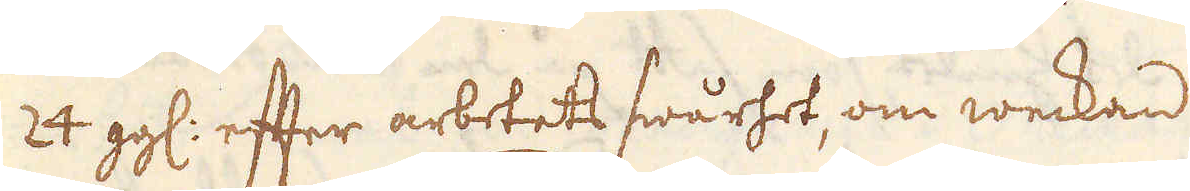24 ggl: efter arbetets swårhet, om weckan.
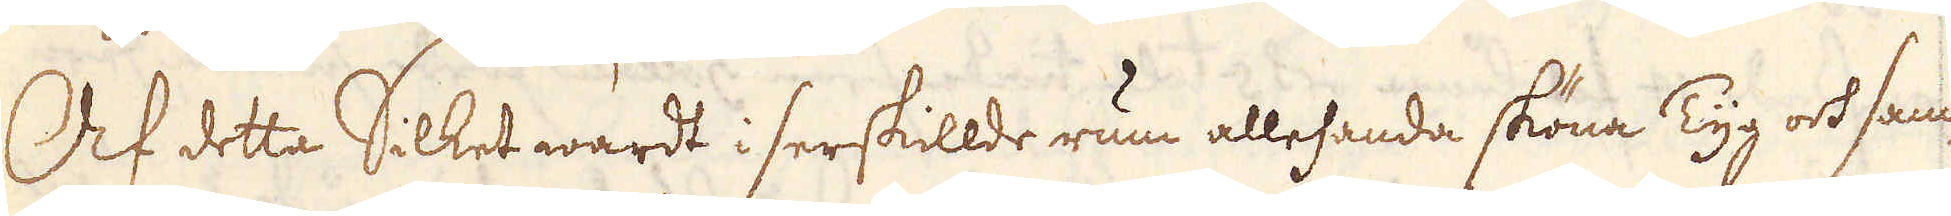Ock detta Silket wardt i serskillde rum allehanda sköna Tyg och sam-
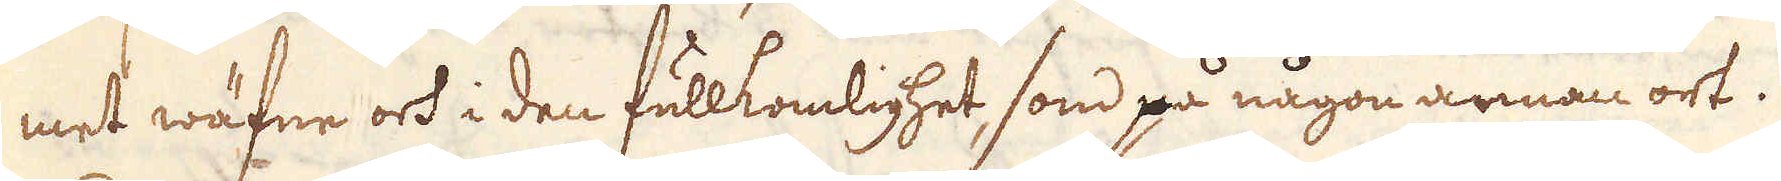met wäfne och i den fullkomlighet, som på någon annan ort.
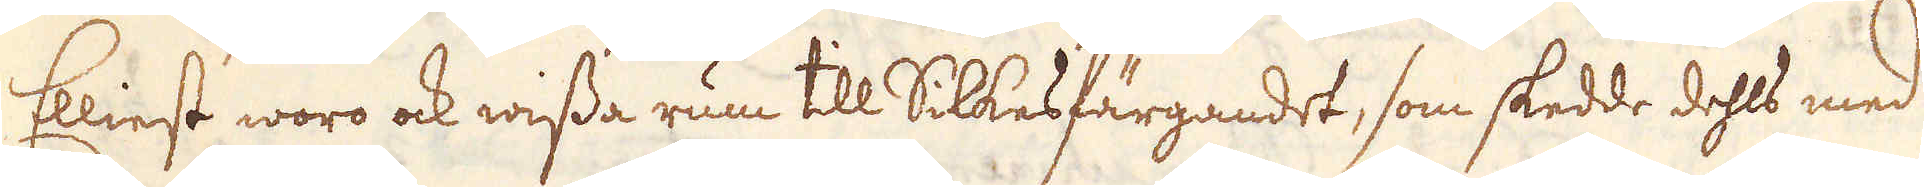Elliest woro ock wissa rum till Silkesfärgandet, som skedde dehls med
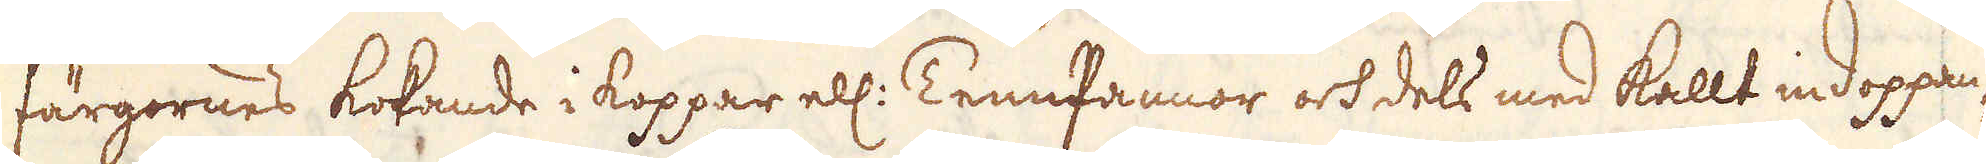färgornes kokande i koppar ell: Tennpannor och dels med kallt indoppan-
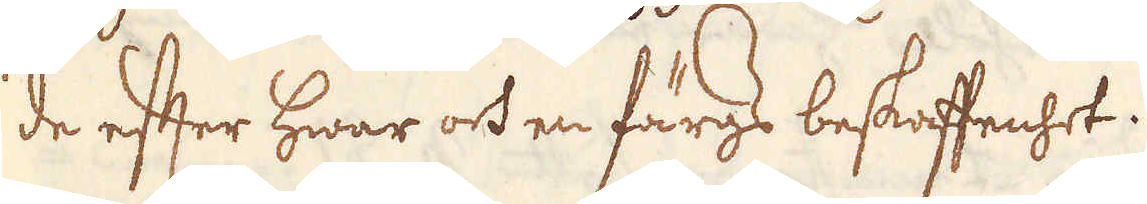de efter hwar och en färgz beskaffenhet.
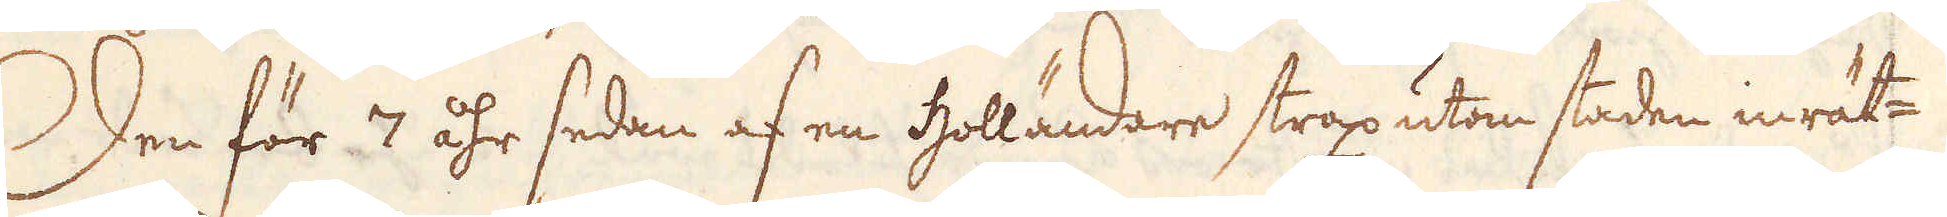Den för 7 åhr sedan af en holländare strax uton staden inrät-
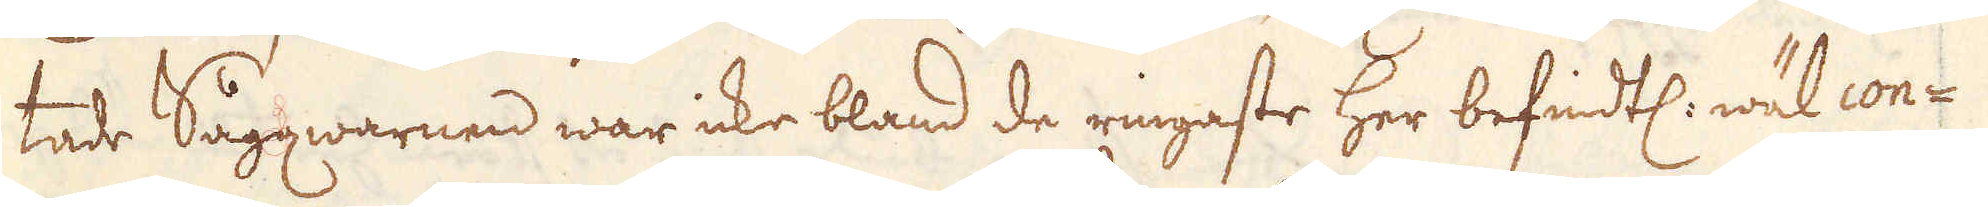tade Sågqwarnen war icke bland de ringaste her befindtl. wäl con-
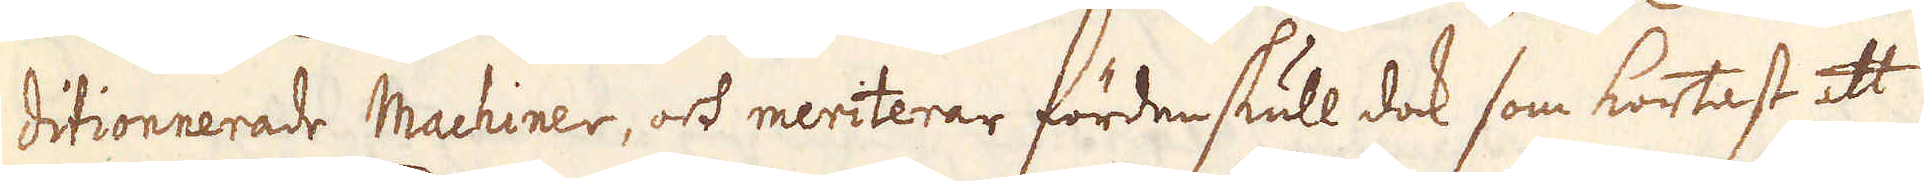ditionnerade Machiner, ock meriterar förden skull dock som kortast att
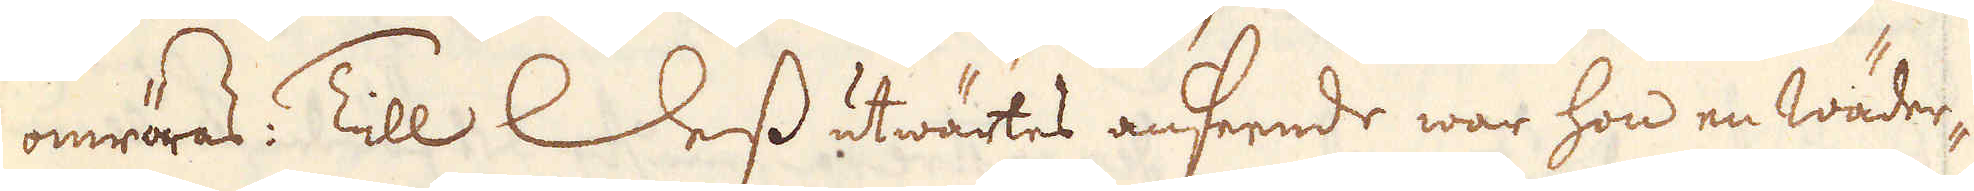omröras. Till Dess utwärtes anseende war hon en Wäder-
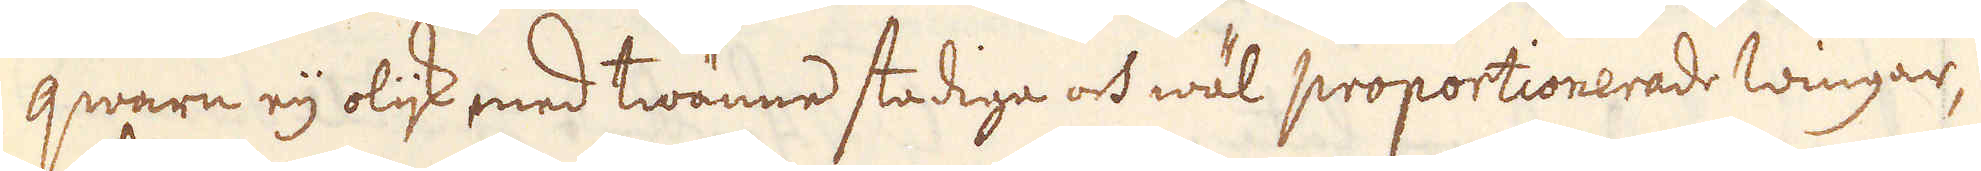qwarn eij olijk med twänne stadiga och wäl proportionerade wingar,
